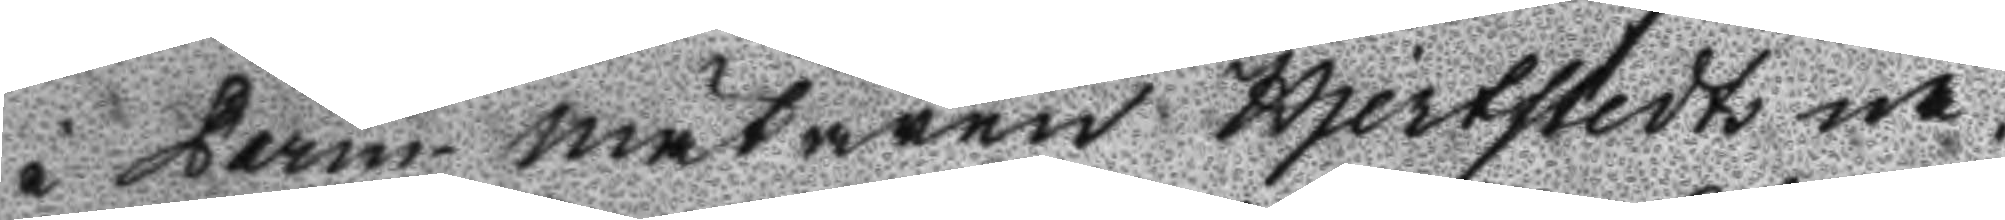i Parm-mätaren Hjertstedts nä¬
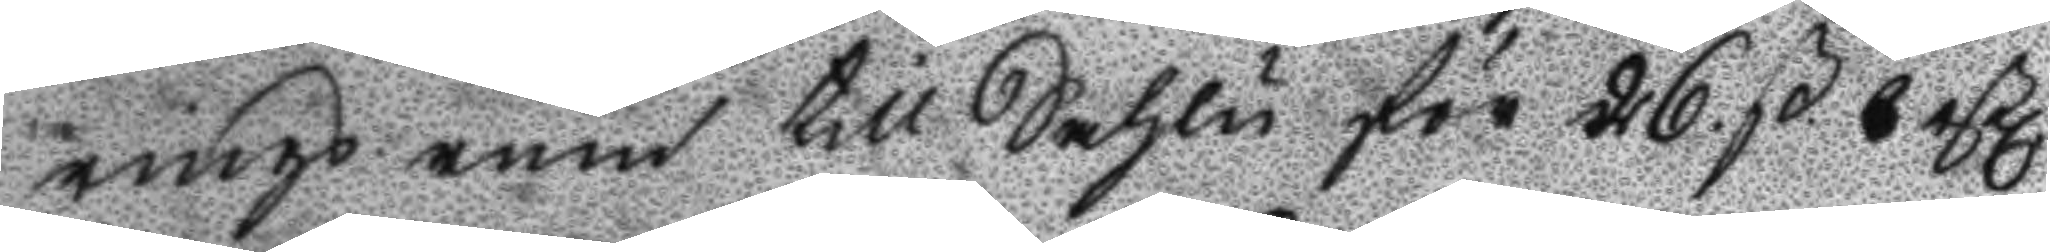rings rum till Sahlu för 26 ß 6 rßl
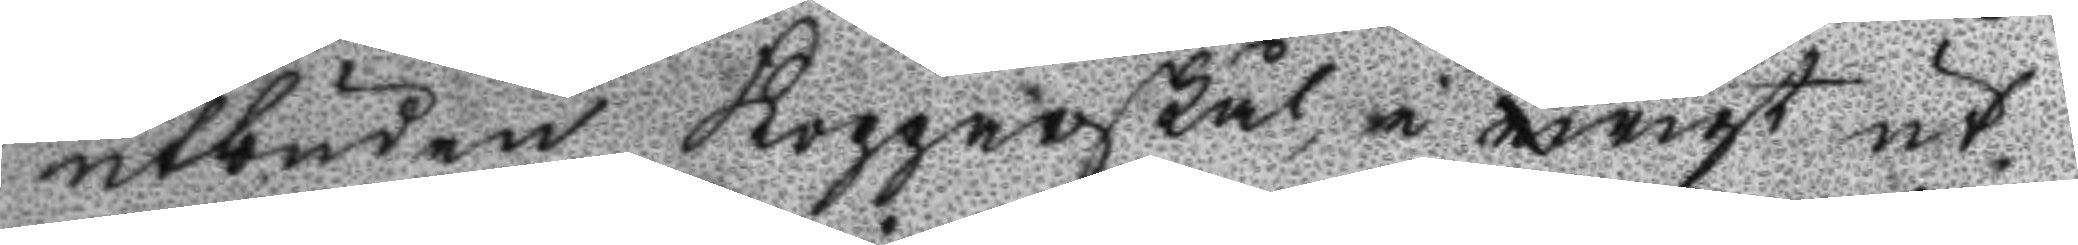utbuden Kopparskål, i wigt ut¬
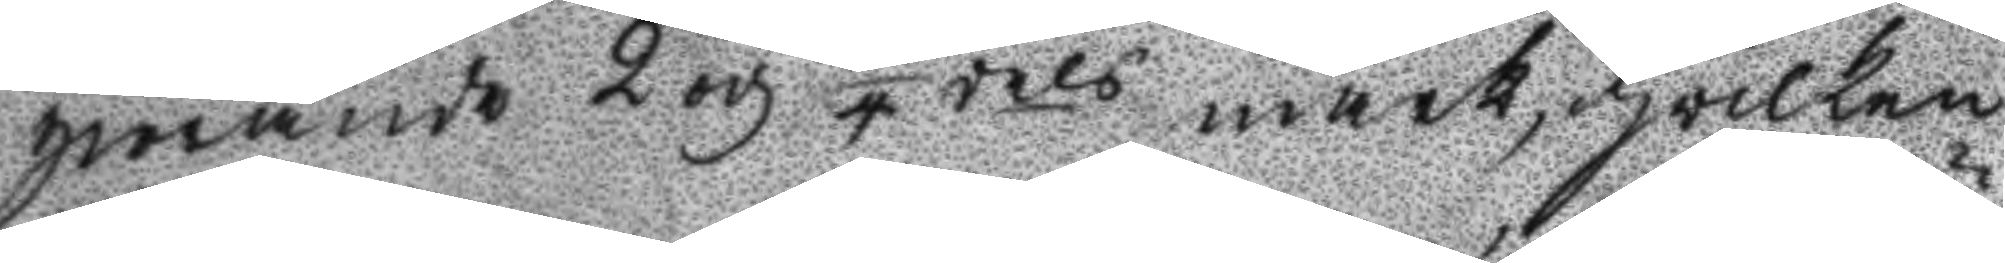giörande 2 och 1/4 dels mark, hwilken
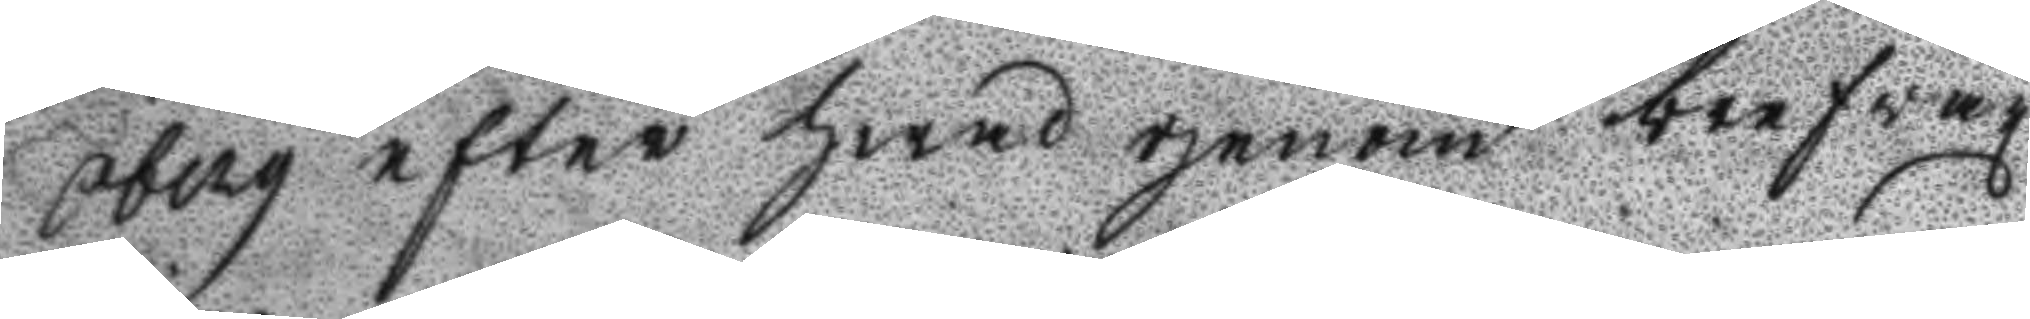Öberg efter hwad genom brefväx¬
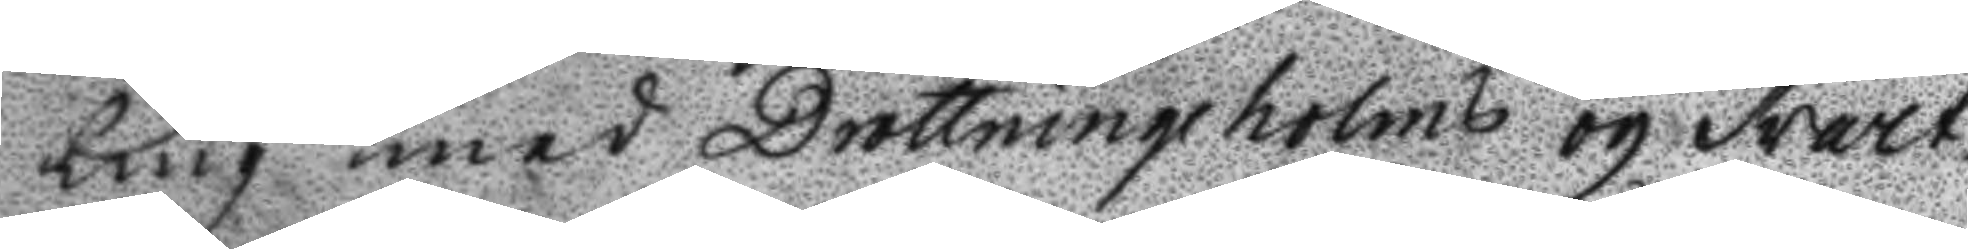ling med Drottningeholms och Svart¬
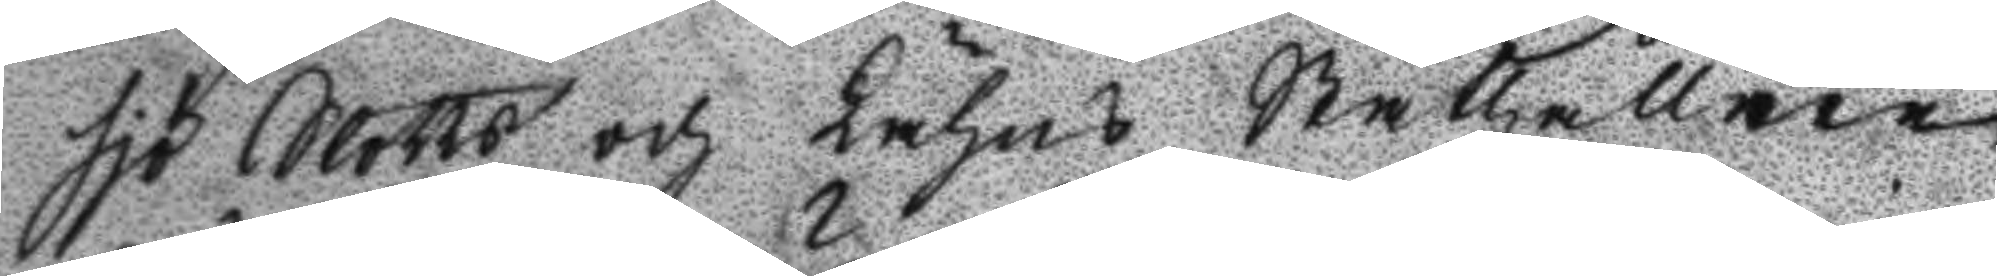sjö Slotts och Lähns Ståthållare
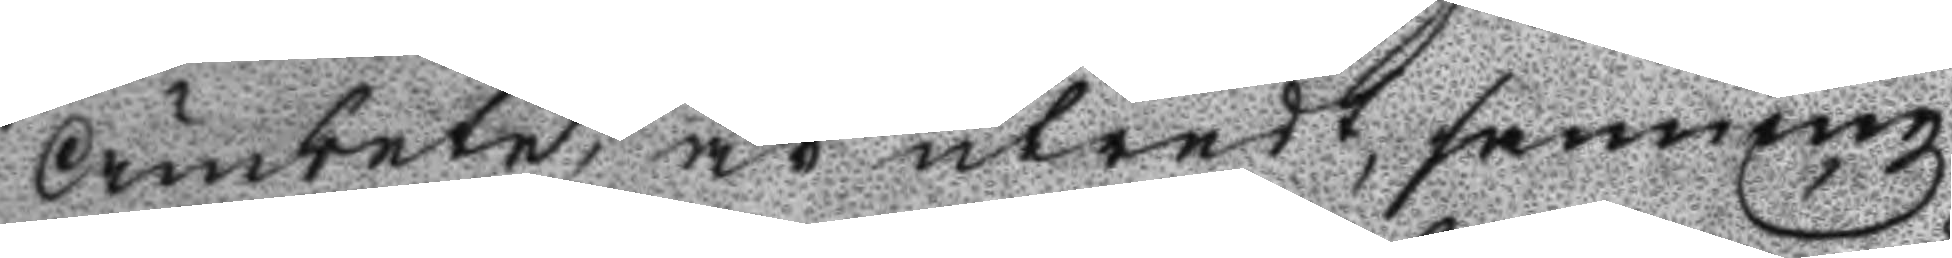Ämbete, är utredt, sanningz
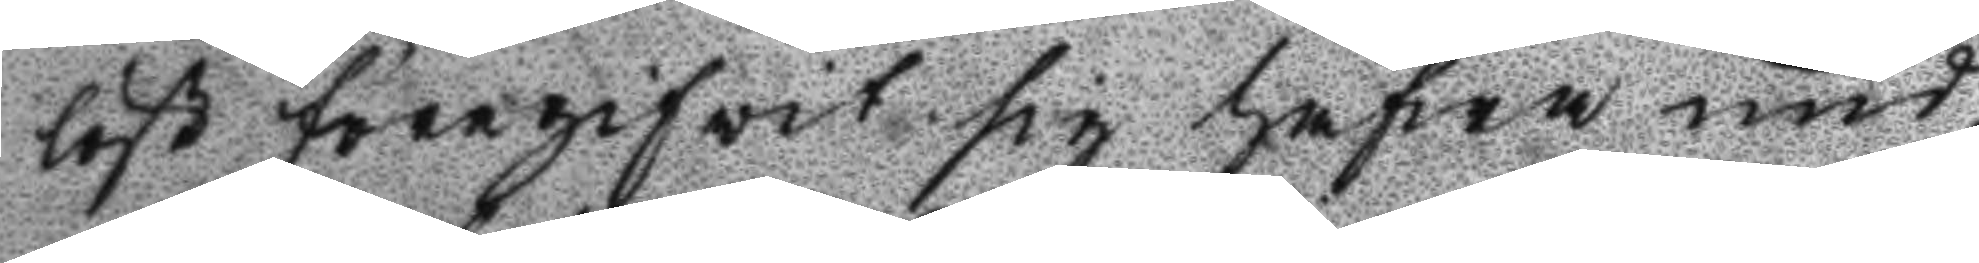löst föregifvit sig hafwa und¬
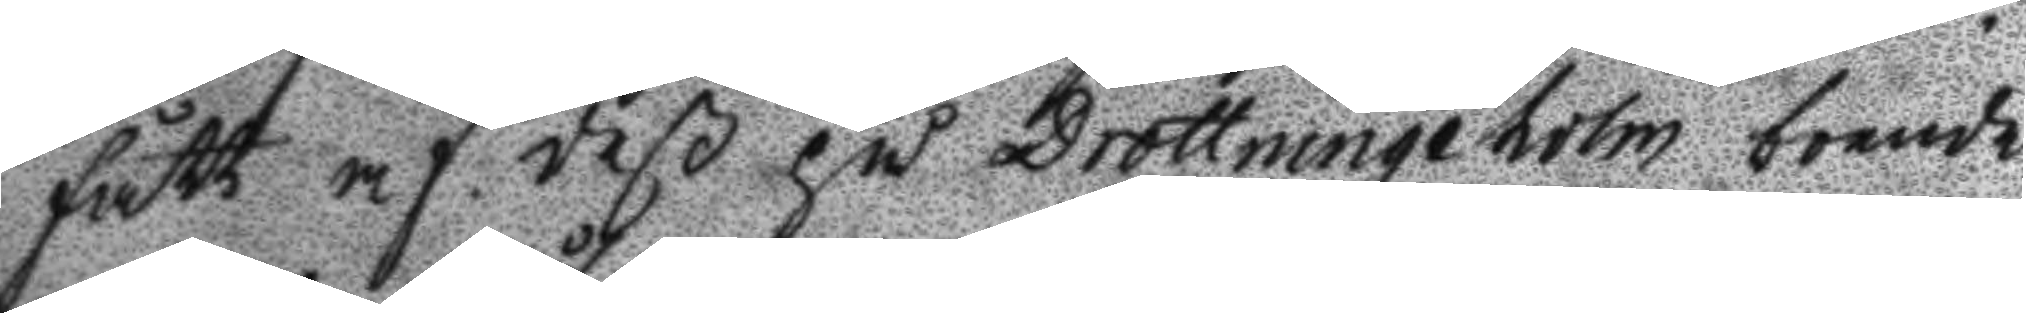fått af deß på Drottningeholm boende
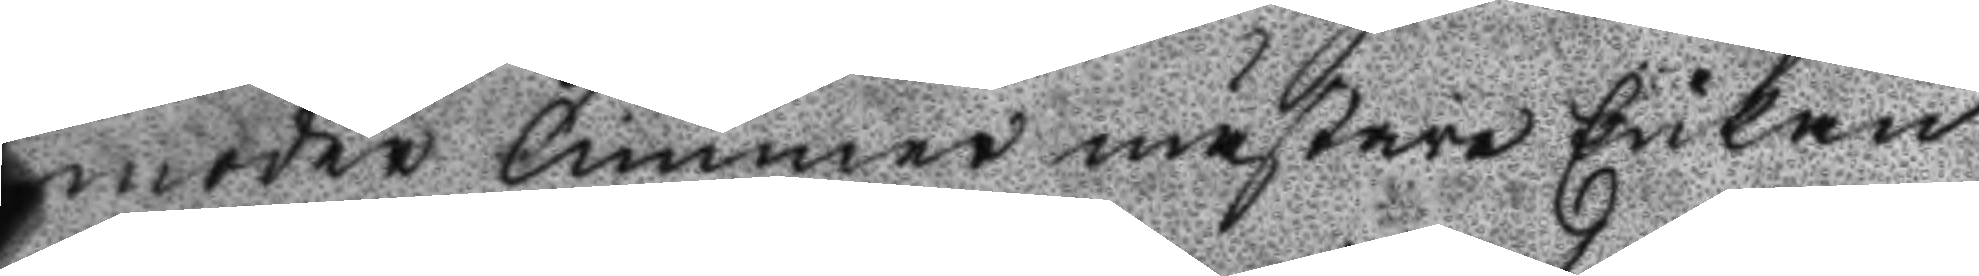moder Cammermästare Enkan
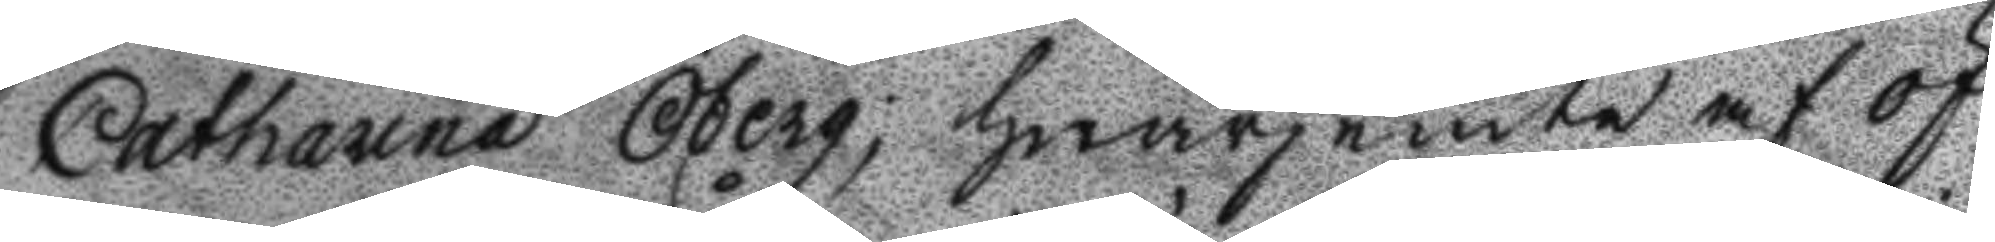Catharina Öberg, hwarjemte af öf¬
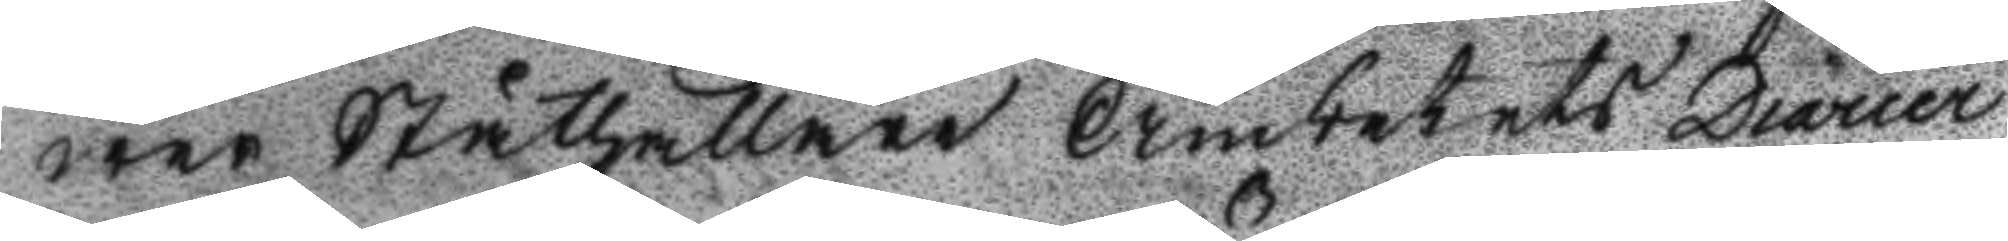wer Ståthållare Ämbetets Diarier
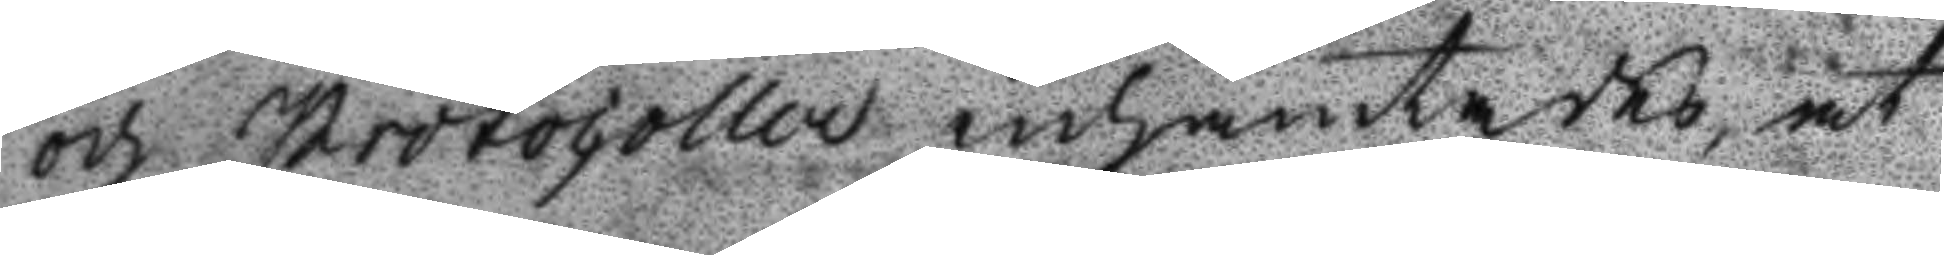och Protocoller inhämtades, at
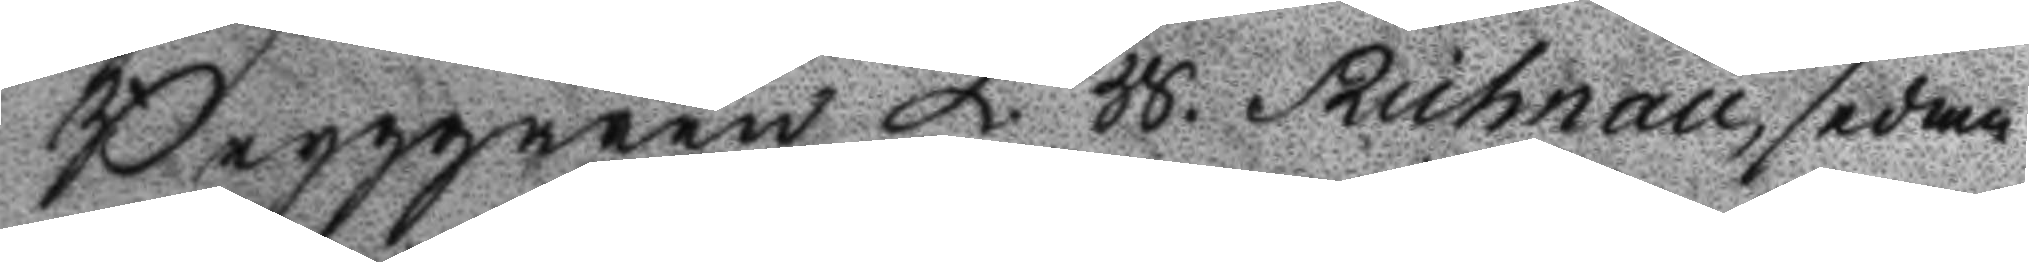Bryggaren L. W. Richnall, sedan
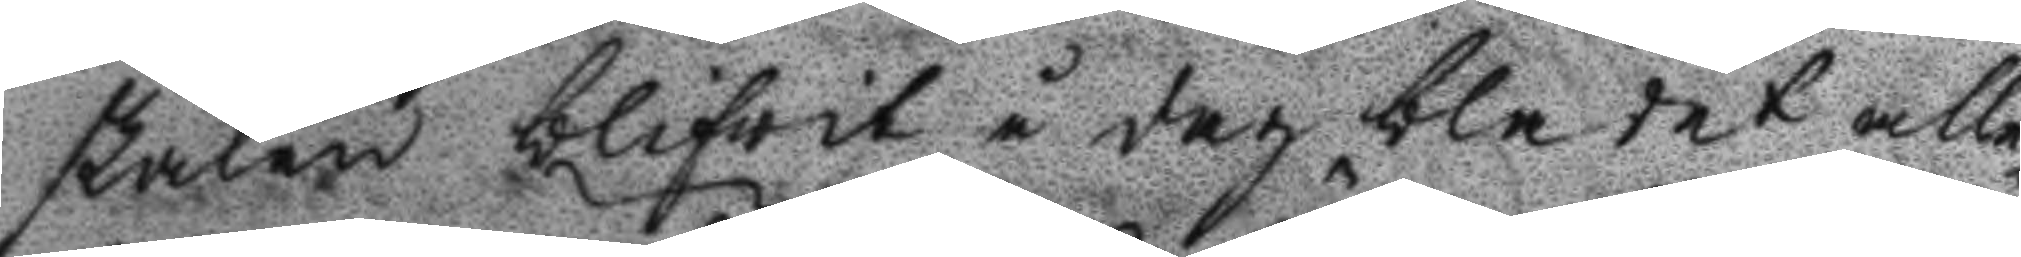skålen blifwit å dag bladet alle¬
